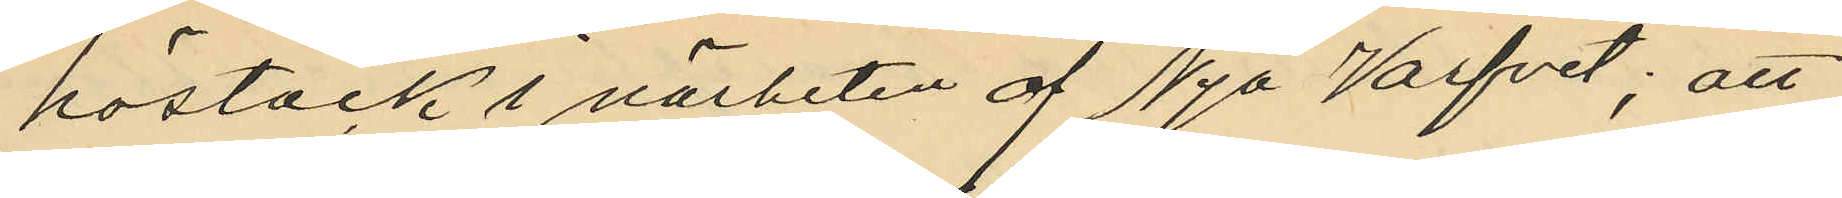höstack i närheten af Nya Varfvet; att
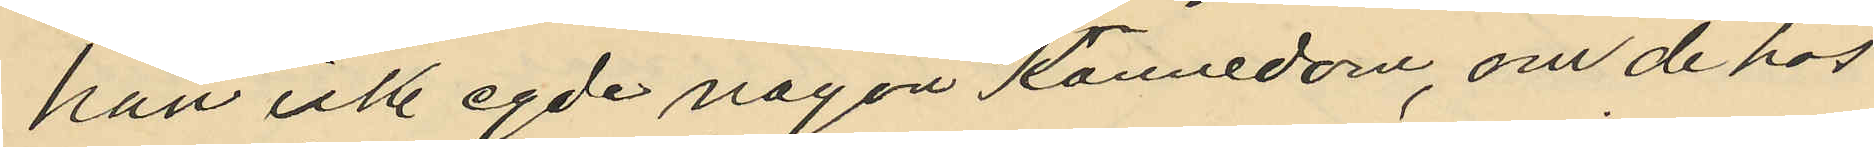han icke egde någon kännedom, om de hos
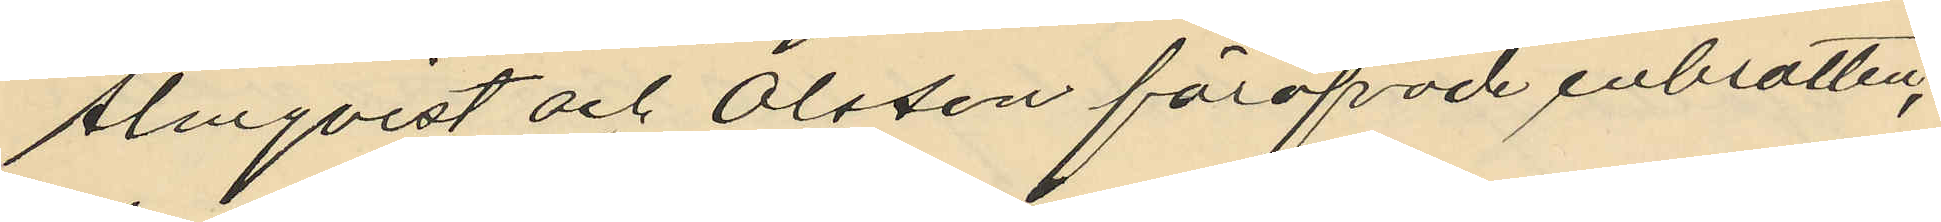Almqvist och Olsson föröfvade inbrotten;
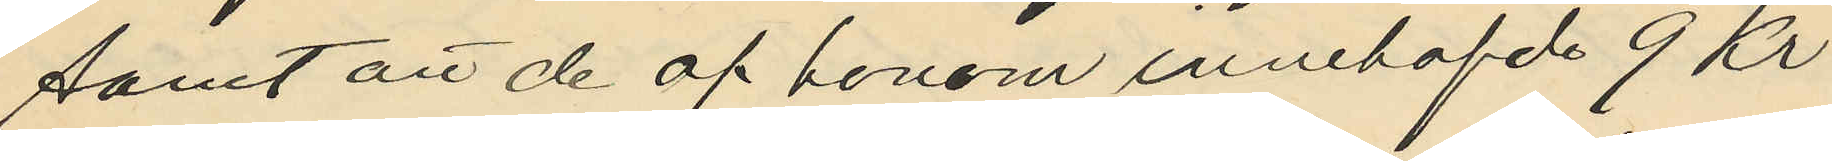samt att de af honom innehafde 9 Kr
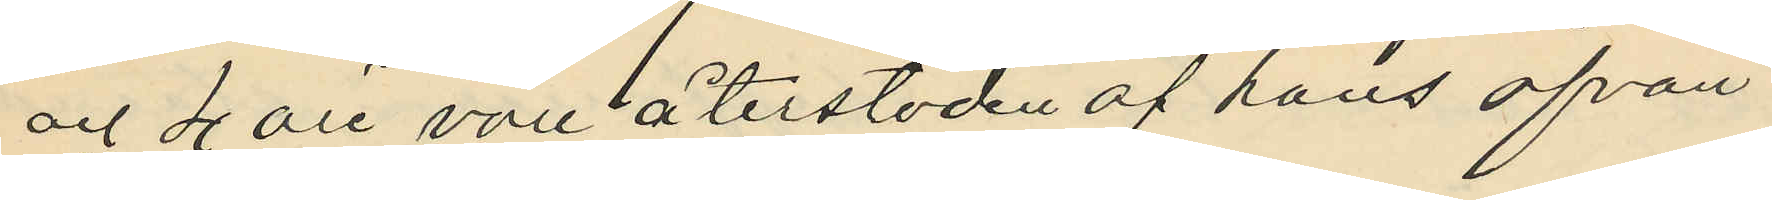och 4 öre vore återstoden af hans ofvan
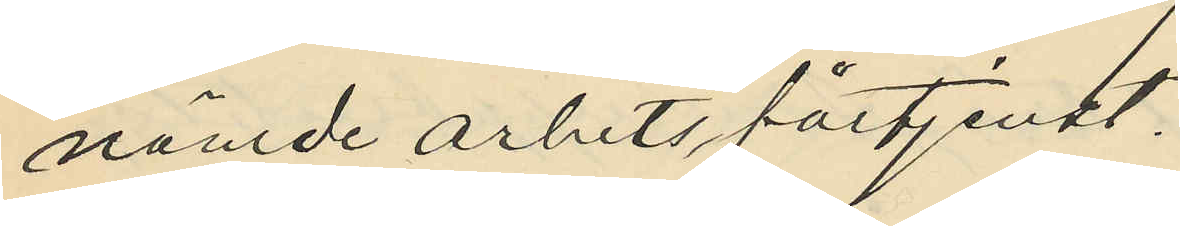nämde arbetsförtjenst.
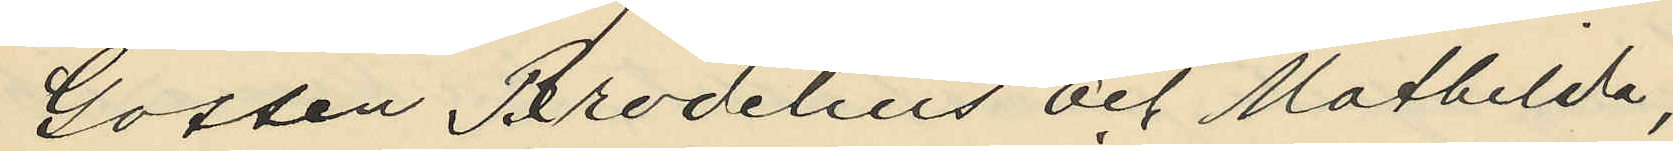Gossen Brodelius och Mathilda,
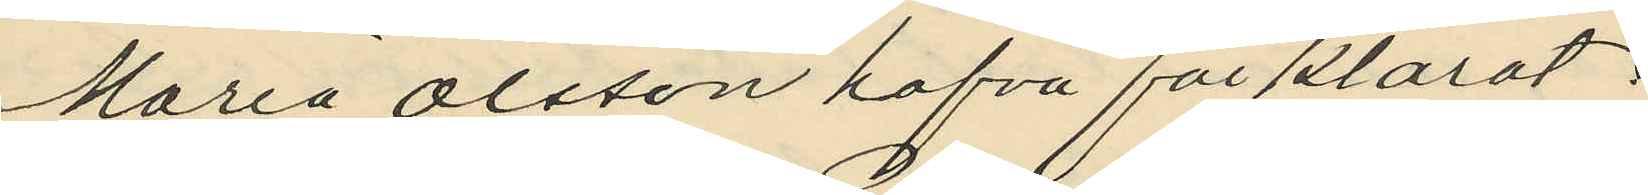Maria Olsson hafva förklarat;
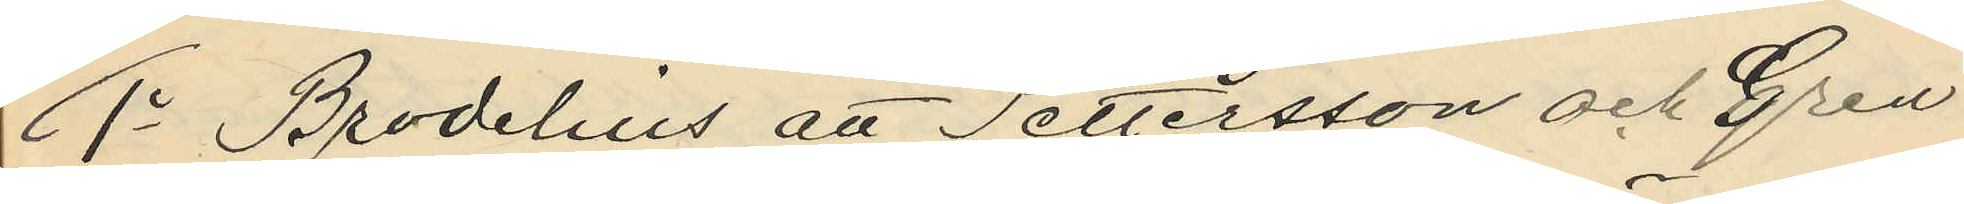1o Brodelius att Pettersson och Gren
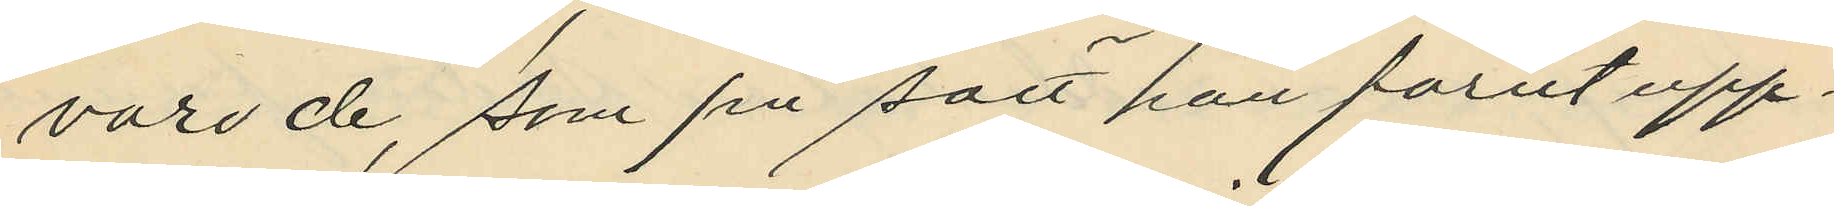varo de, som på sätt han förut upp¬
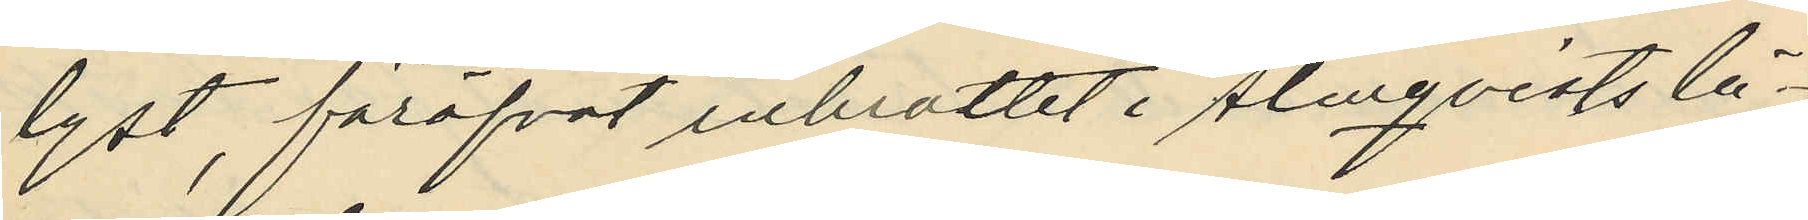lyst, föröfvat inbrottet i Almqvists lä¬
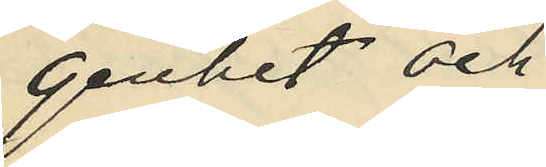genhet och
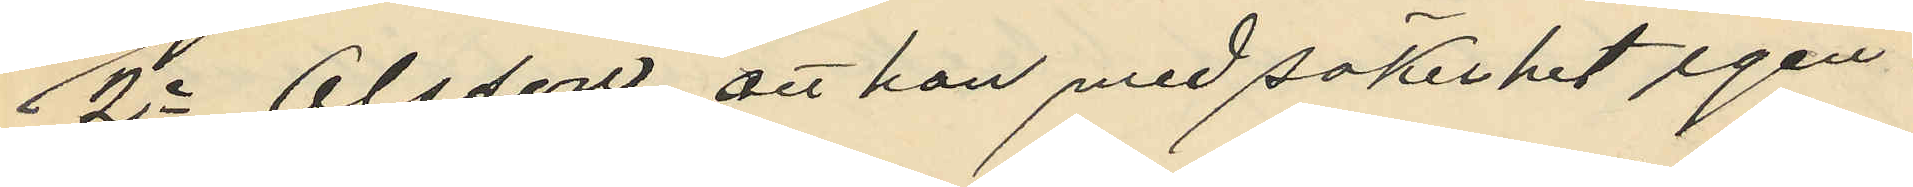2o Olsson att hon med säkerhet igen¬
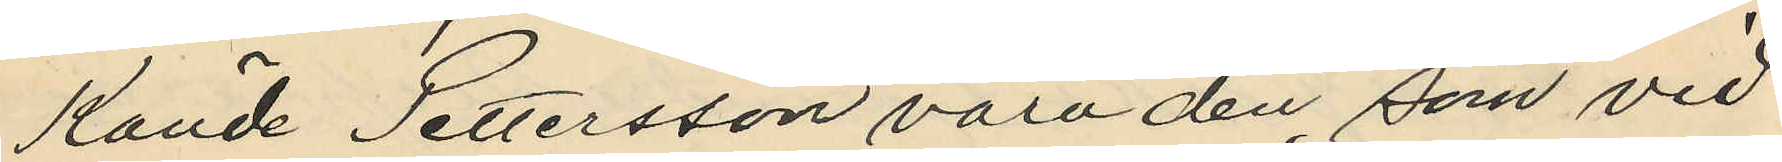kände Pettersson vara den, som vid
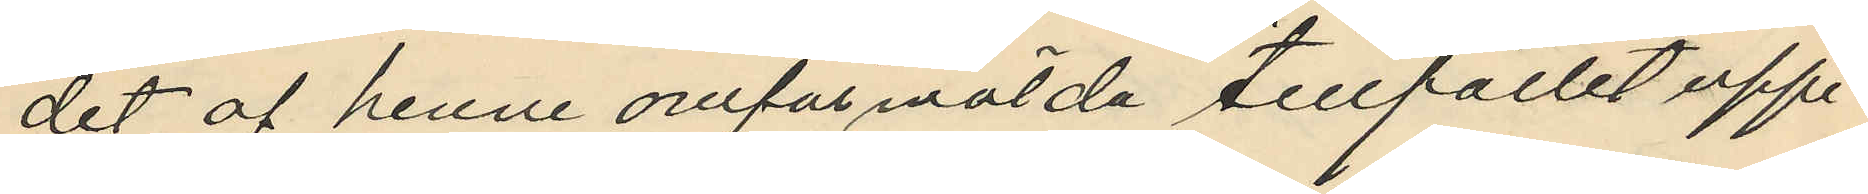det af henne omförmälda tillfället uppe¬
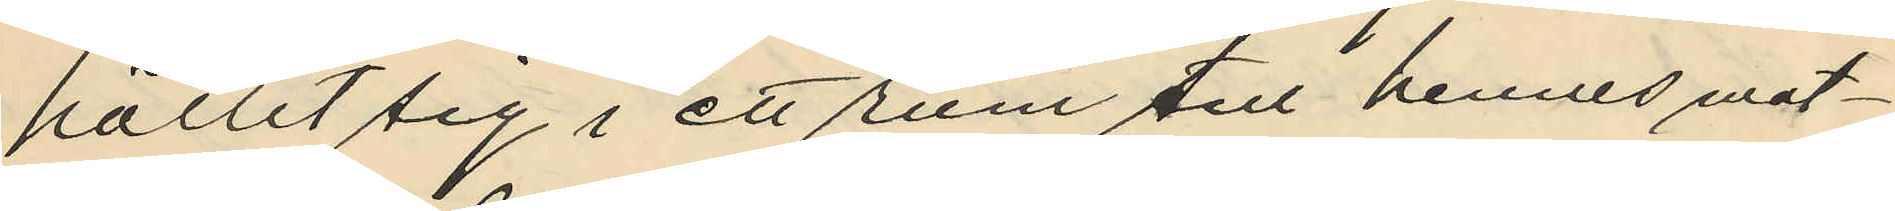hållit sig i ett rum till hennes mat¬
